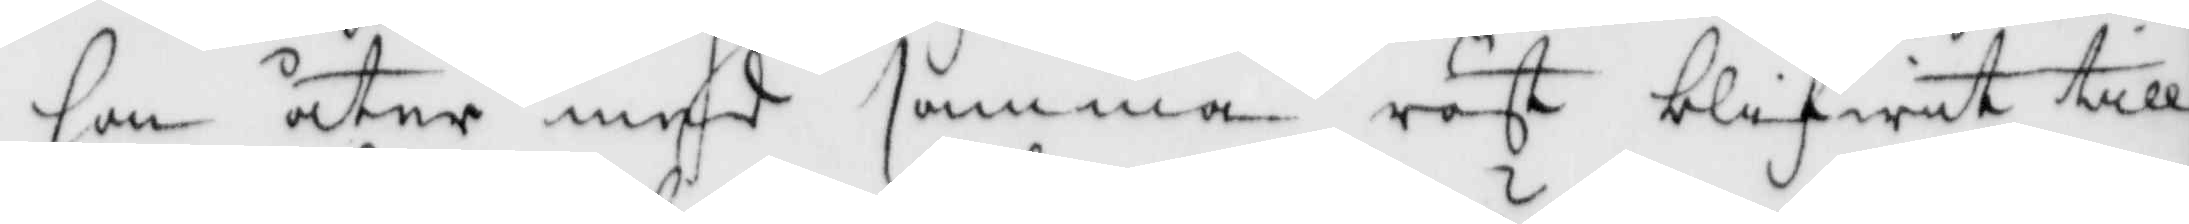hon åter med samma röst blifwit till¬
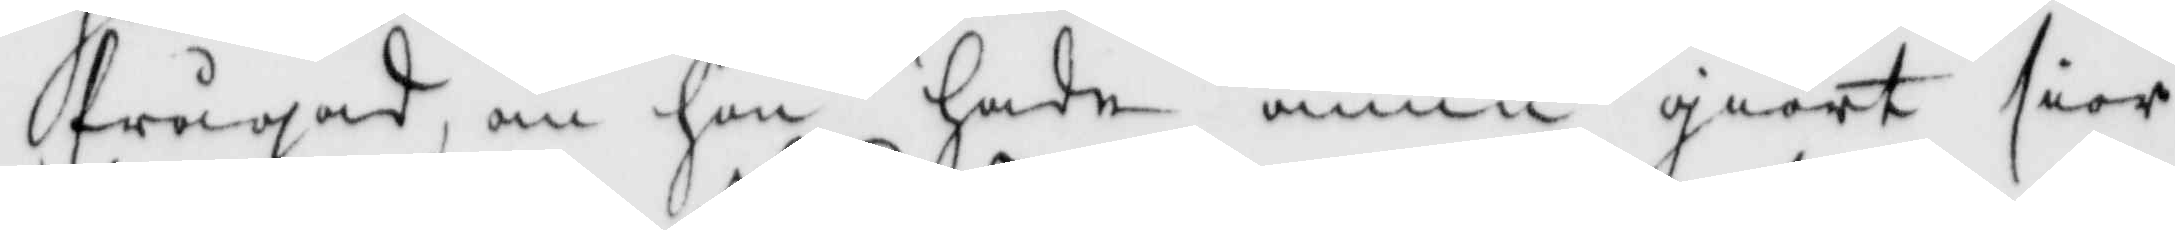frågadt om hon hade ännu giort sior¬
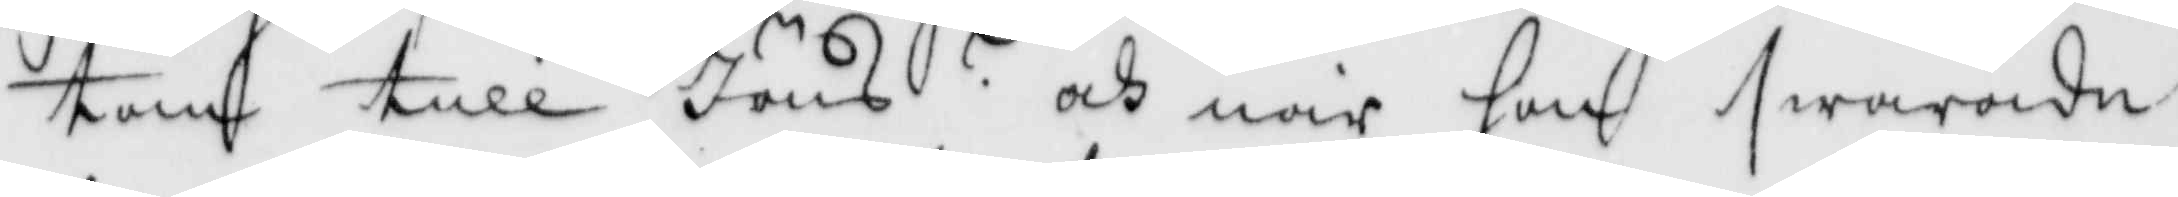tan till Jöns? och när hon swarade
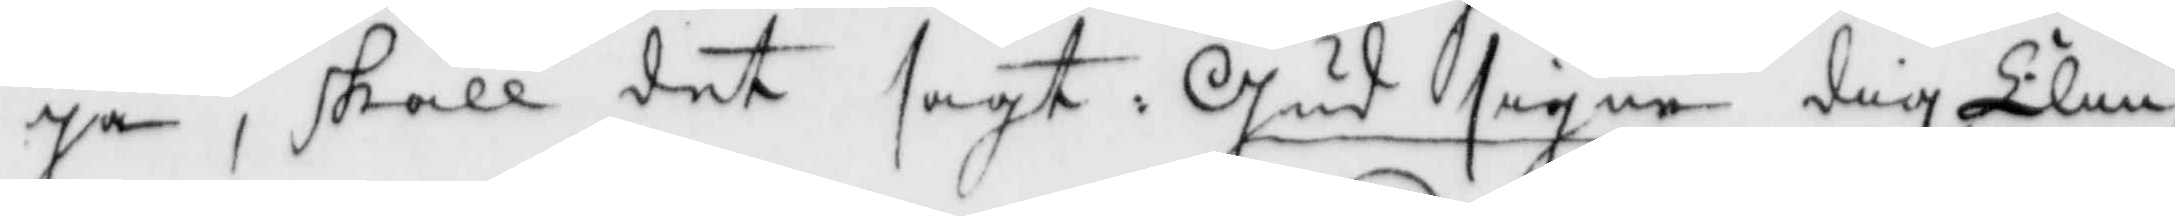ja, skall det sagt: Gud signe dig Elin
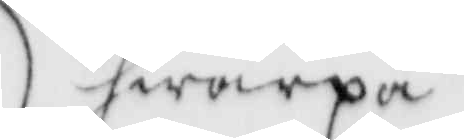hwarpå
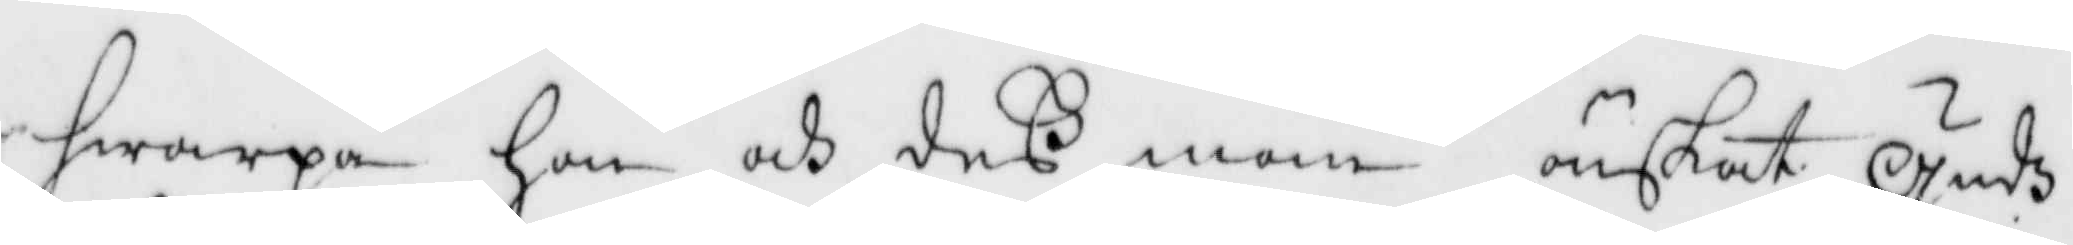hwarpå hon och deß man önskat gudz
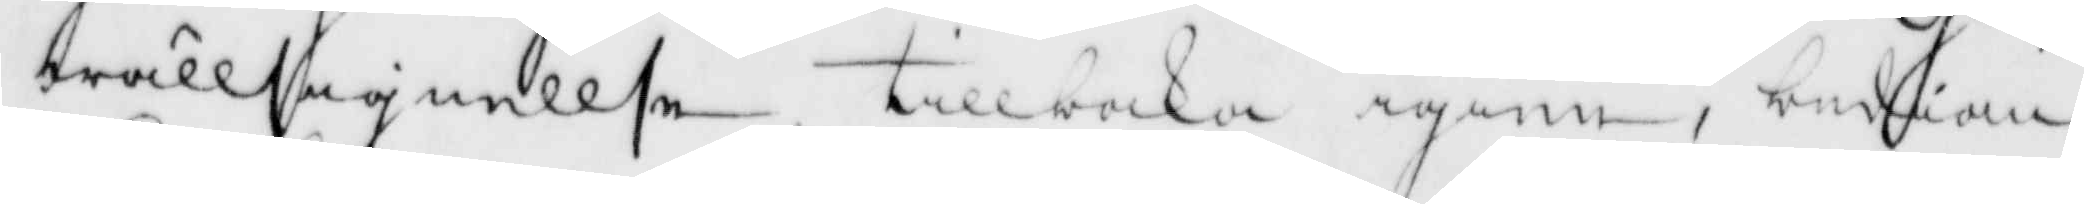wällsignellse tillbaka igien, budian
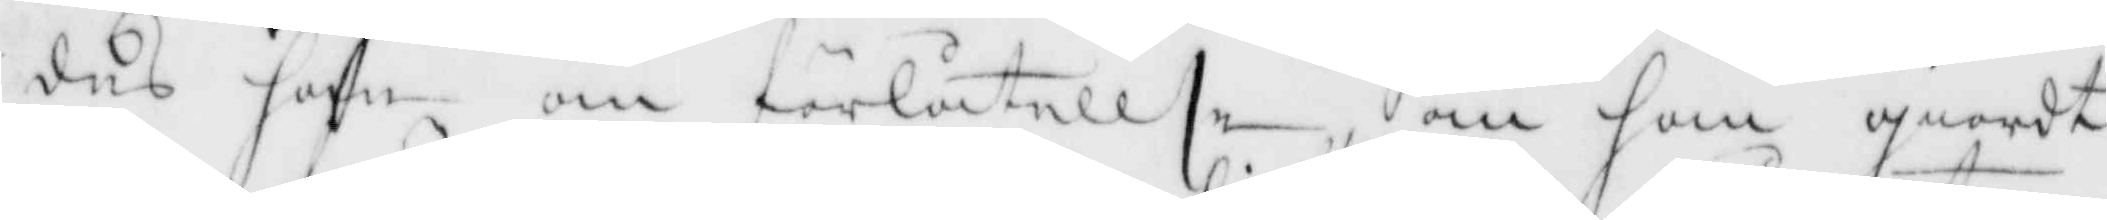des han om förlåtellse om han giordt
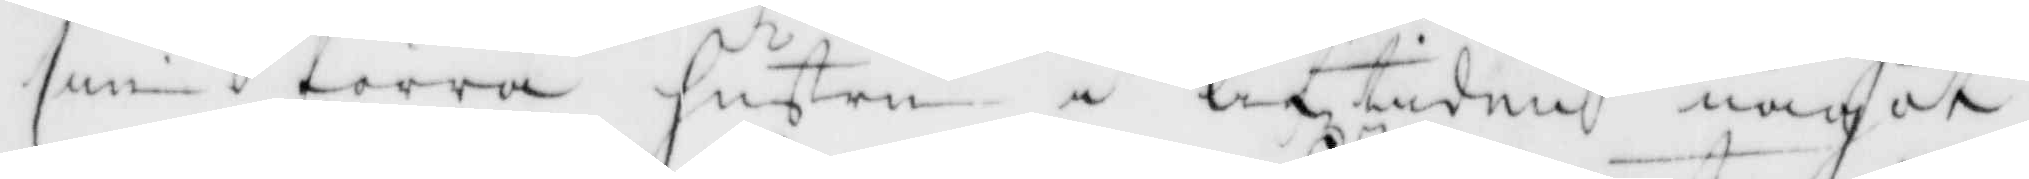sin förra hustru i lifstiden något
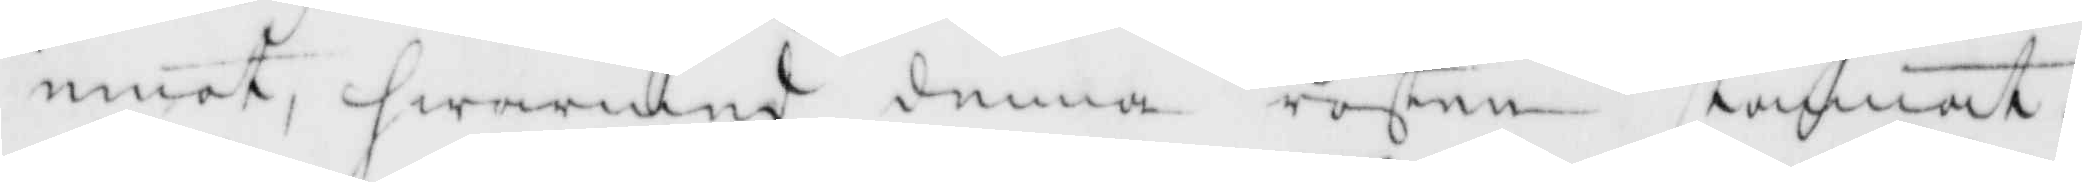emot, hwarmed denna rösten stammat.
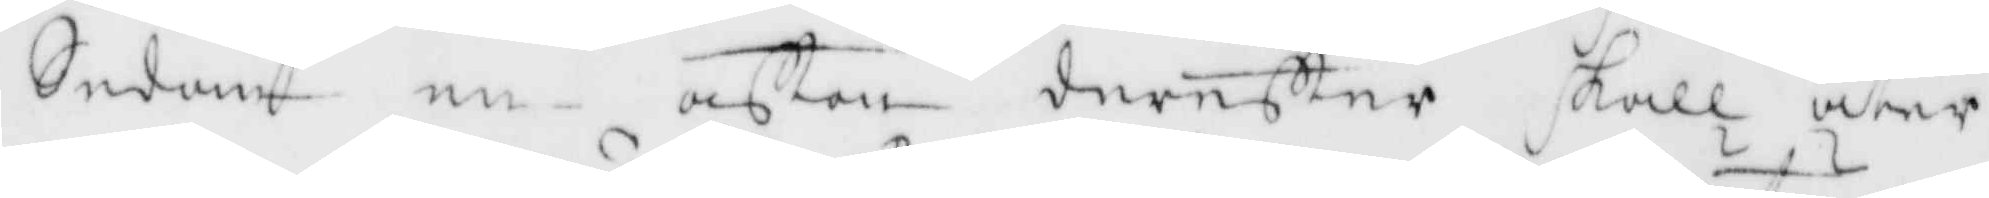Sedan en afton derefter skall åter
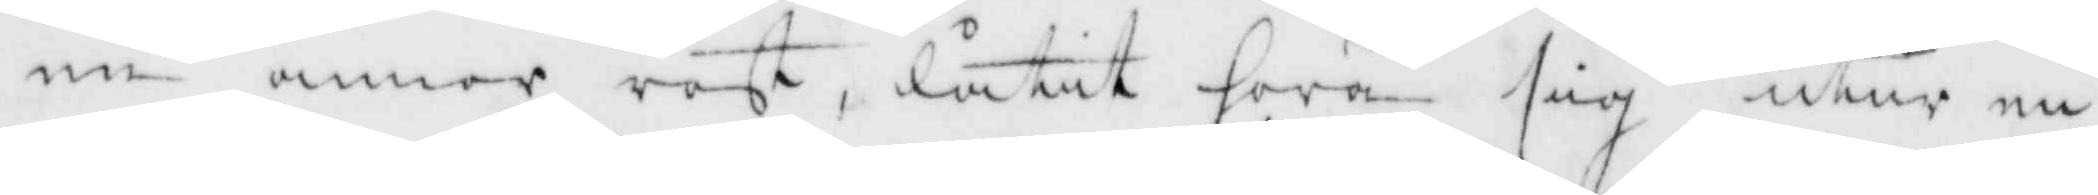en annor röst, låtit höra sig utur en
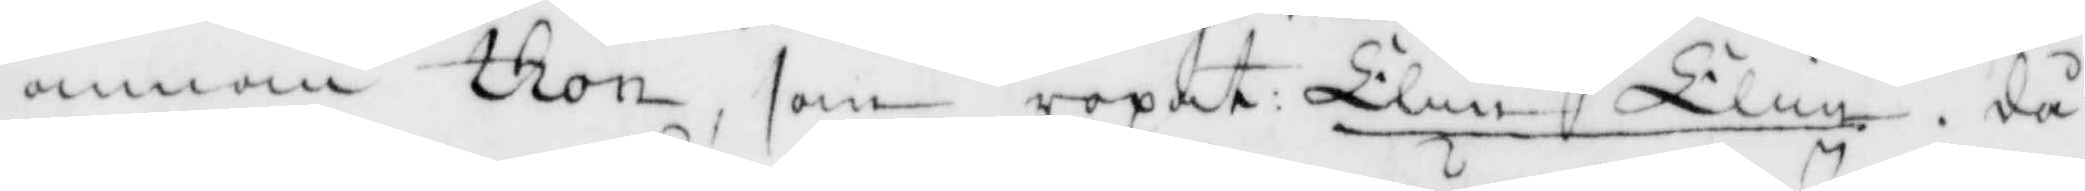anna thon, som ropat Elin Elin, då
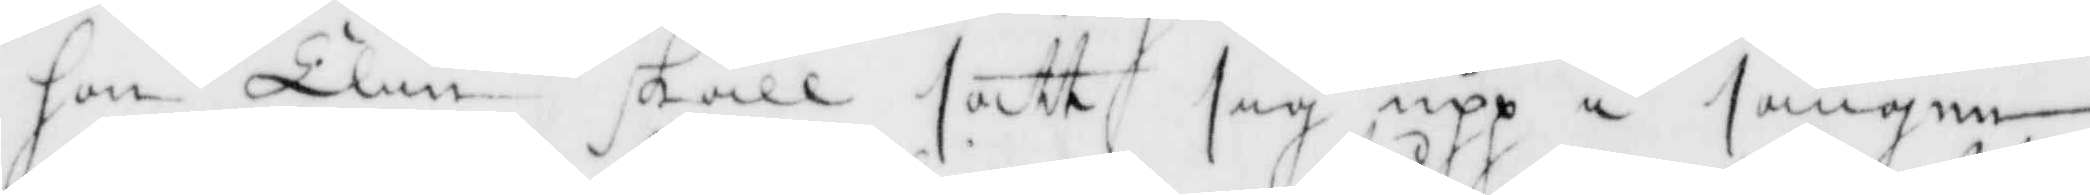hon Elin skall satt sig upp i sängen
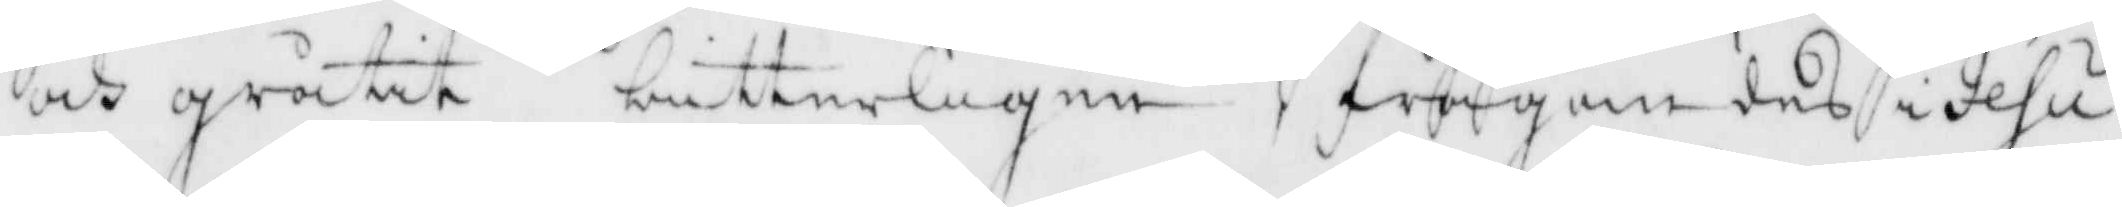och gråtit bitterligen, frågandes i Jesu
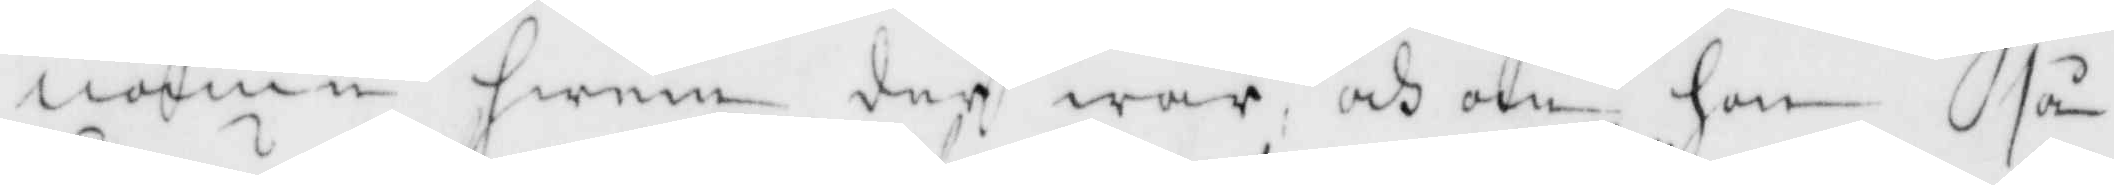namn henne der war och om hon så
